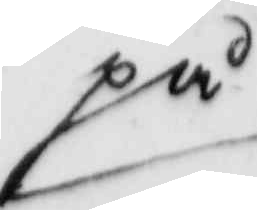på
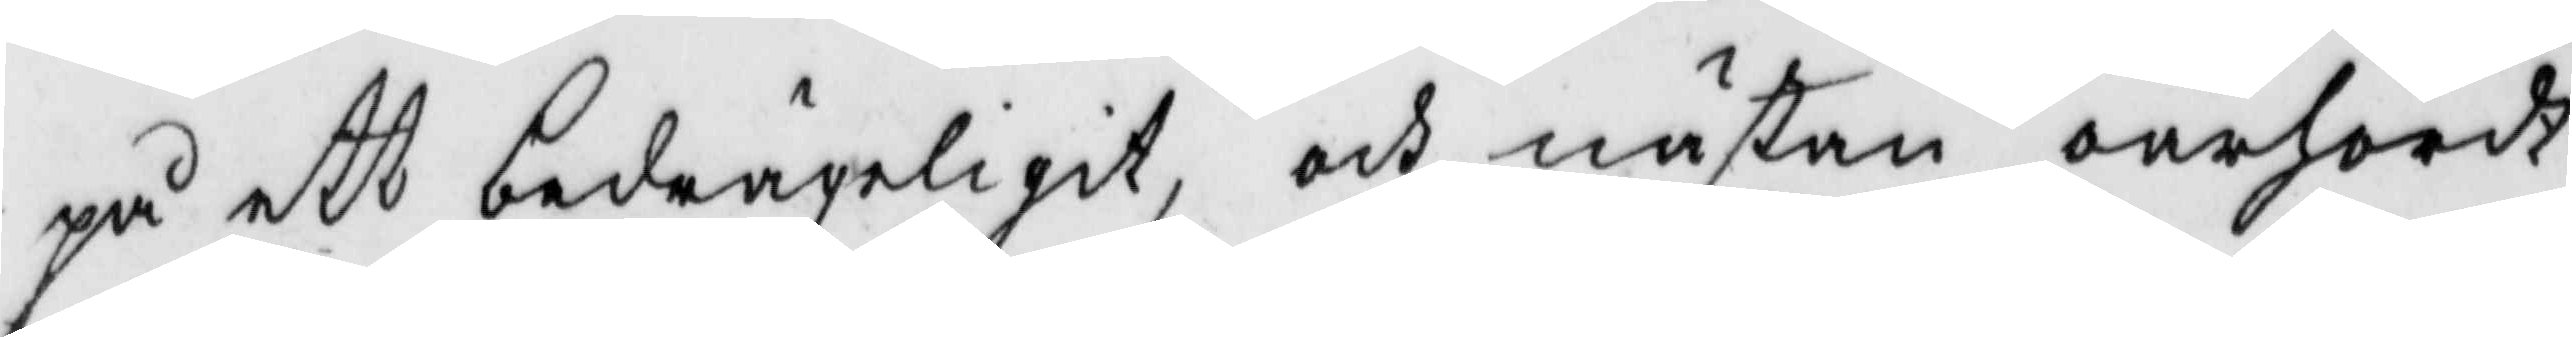på ett bedrägeligit och nästan oärhördt
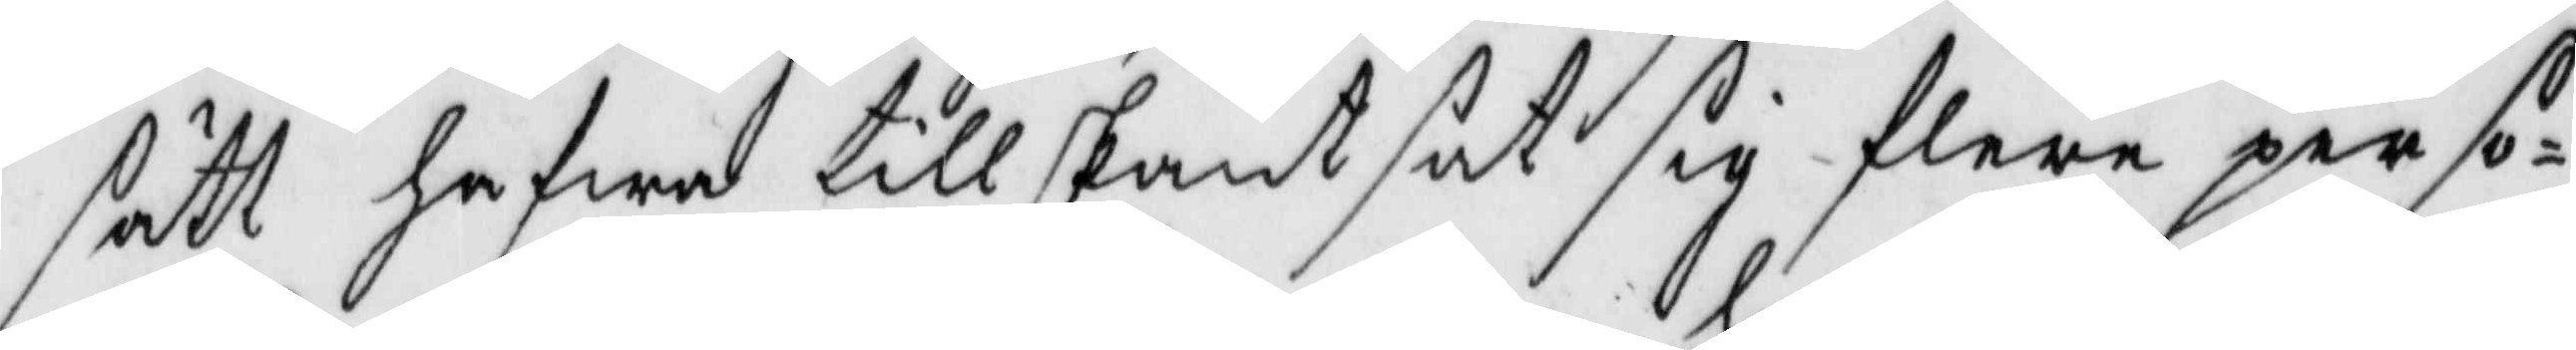sätt hafwa tillskantsat sig flere perso¬
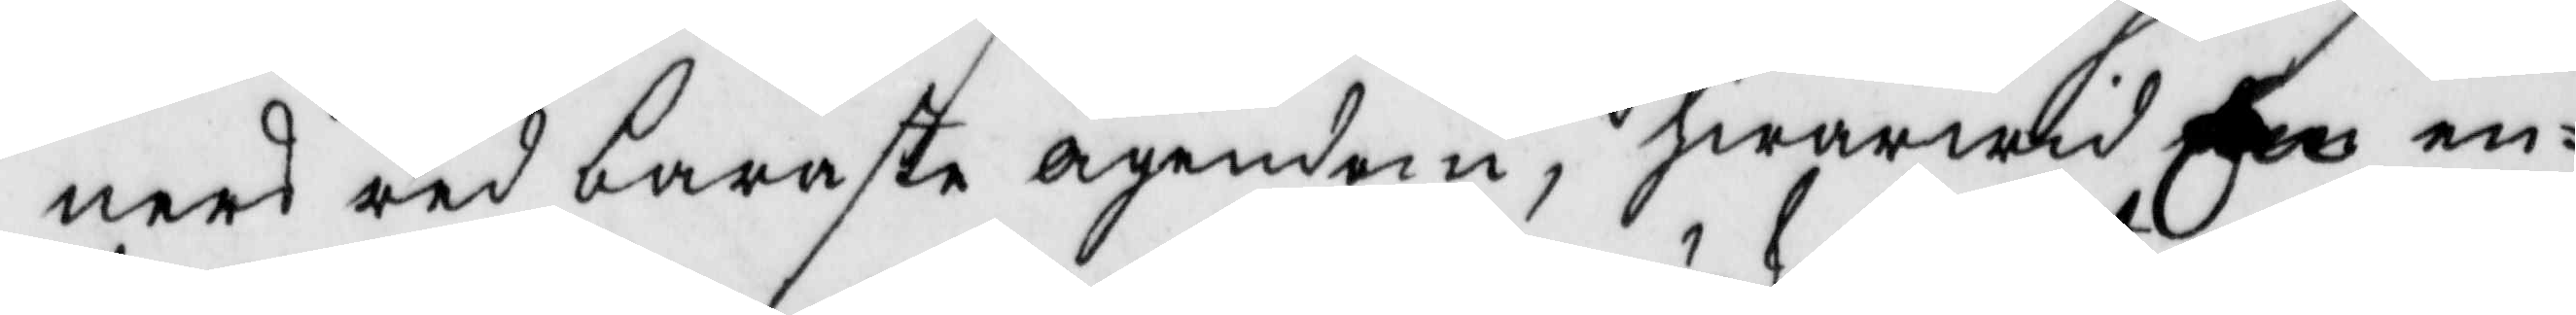ners redbaraste ägendom, hwarwid den en¬
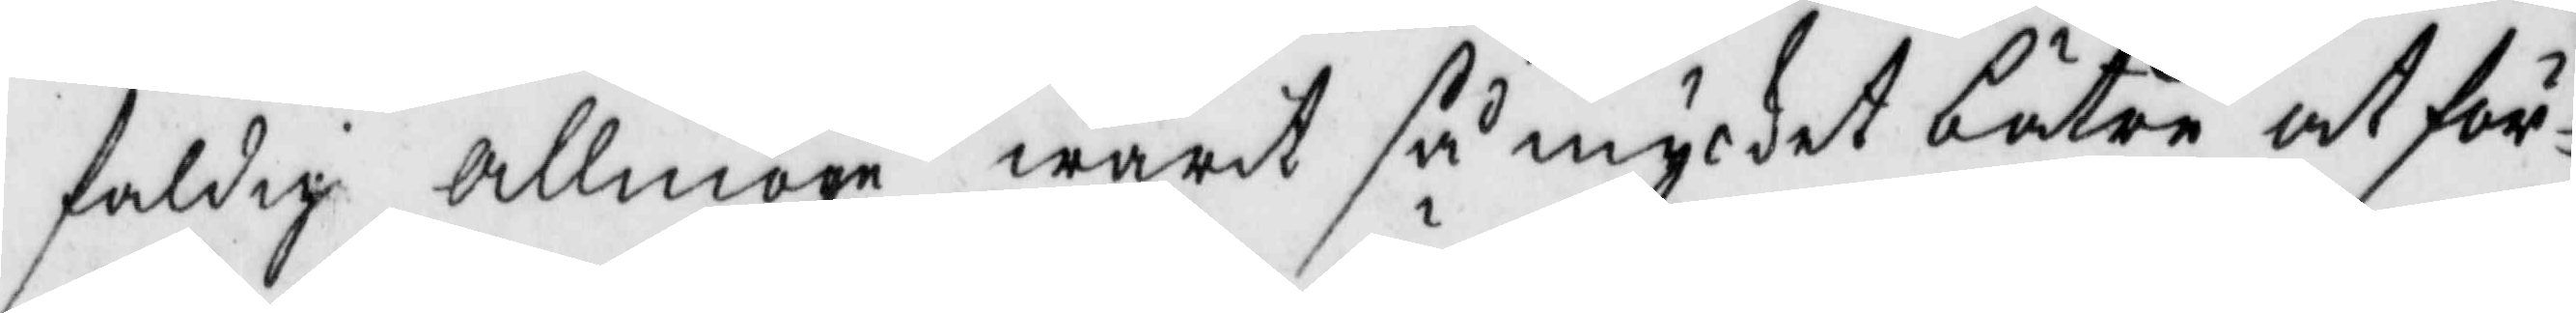faldig Allmoge warit så mycket bätre at för¬
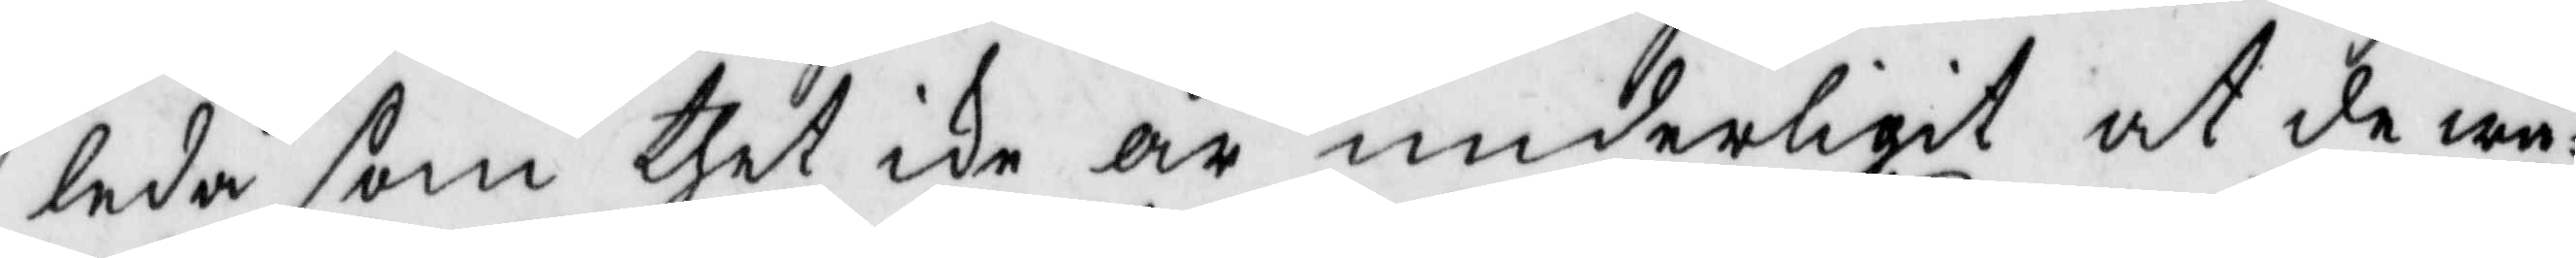leda som thet ike är underligit at de wå¬
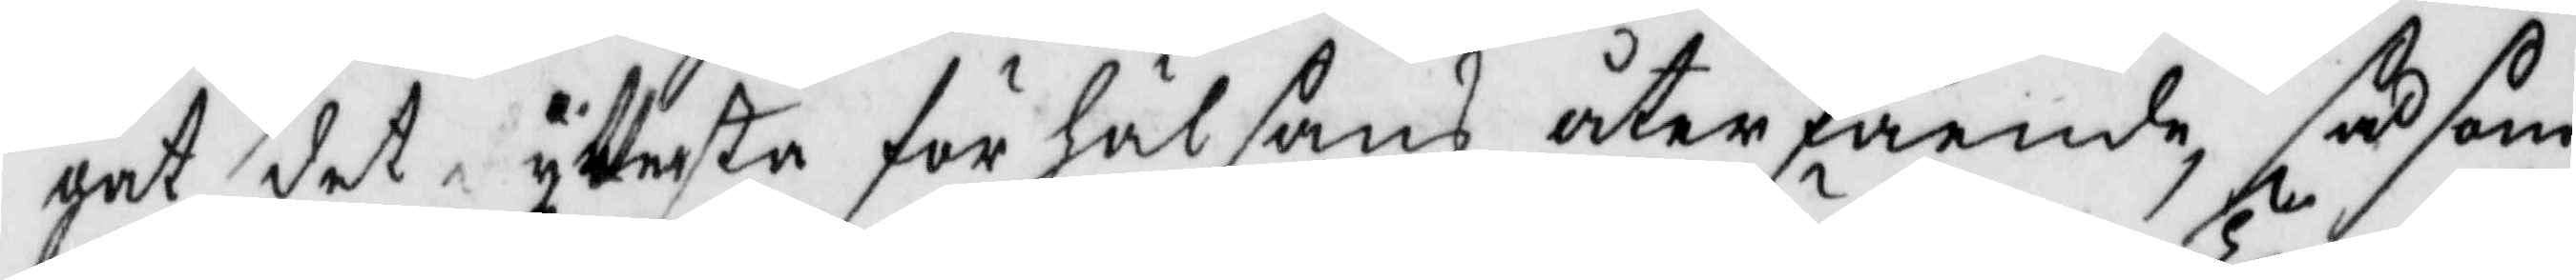gat det yttersta för hälsans återfående, så som
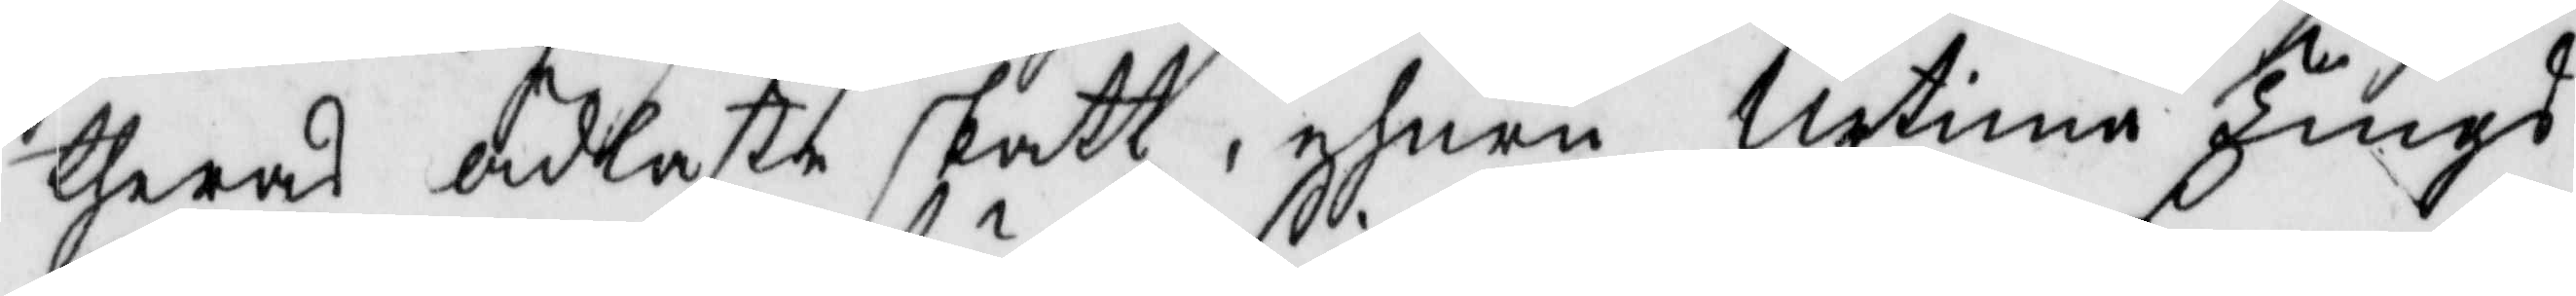theras skatt, ehuru Urtima Tings¬
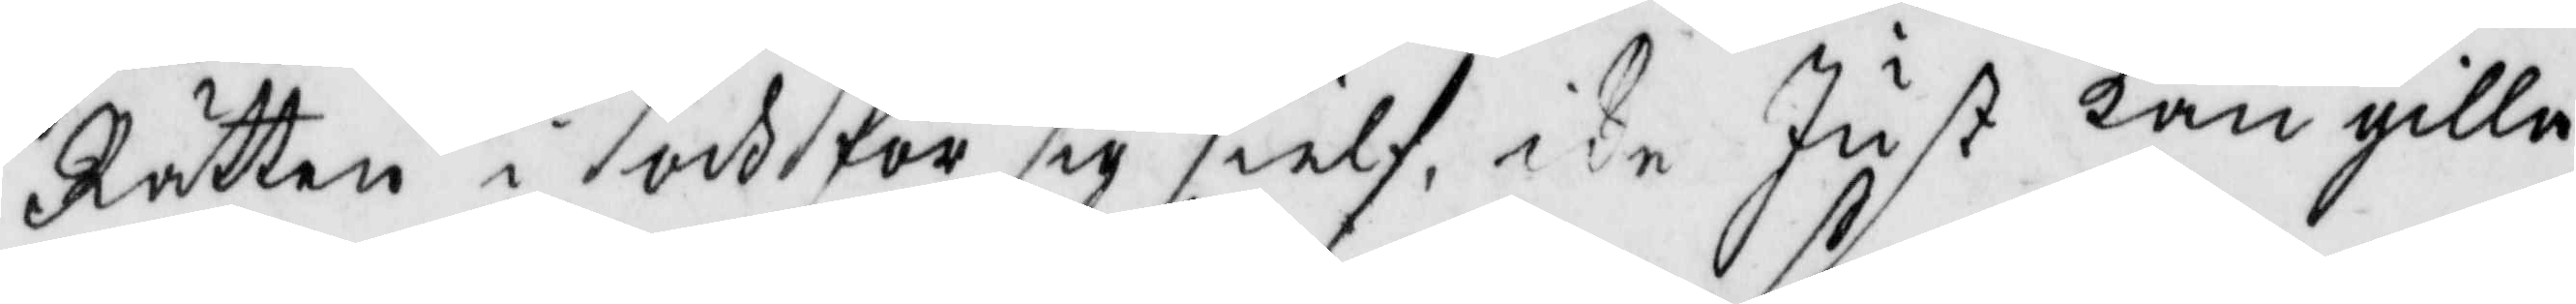Rätten i och för sig sielf ike Just kan gilla
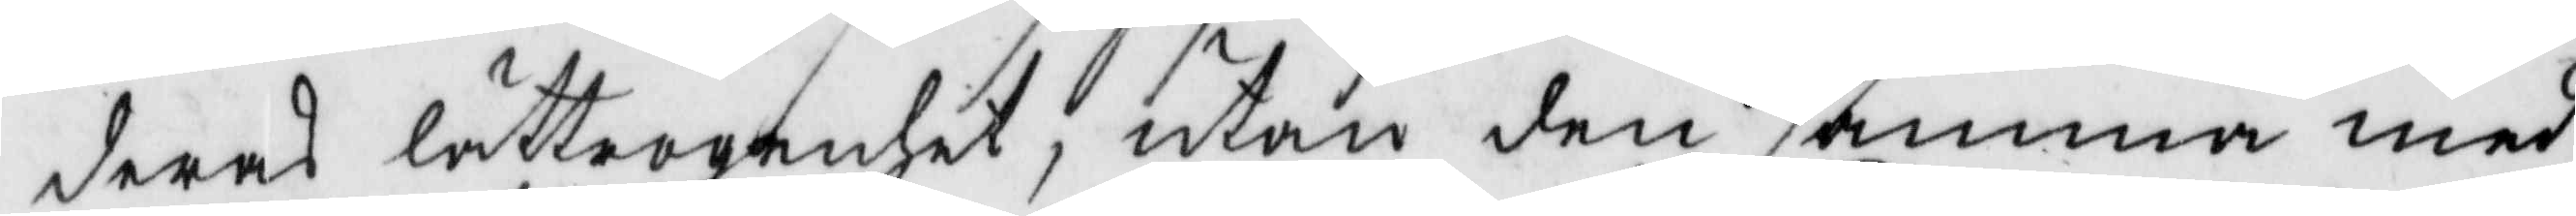deras lättrogenhet, utan den samma med
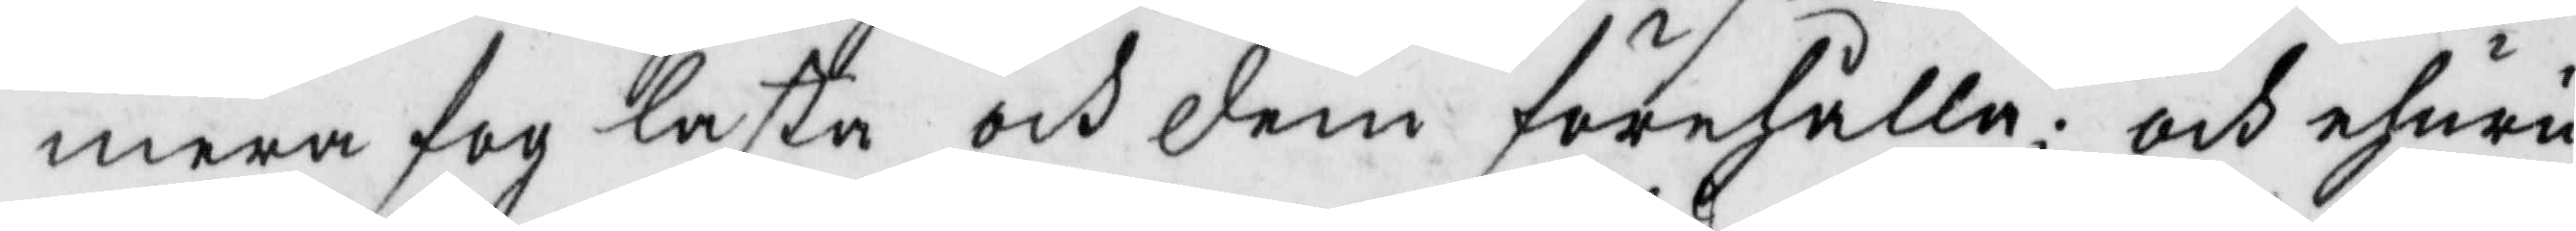mera fog lasta och dem förehålla; och ehuru
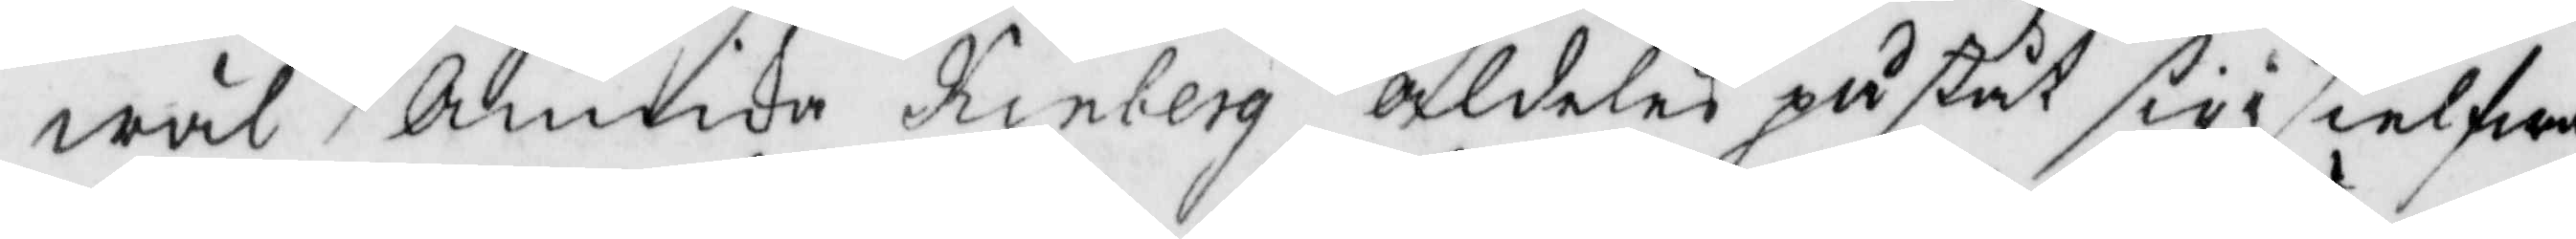wäl Annika Kinberg aldeles påstår sig i sielfwa
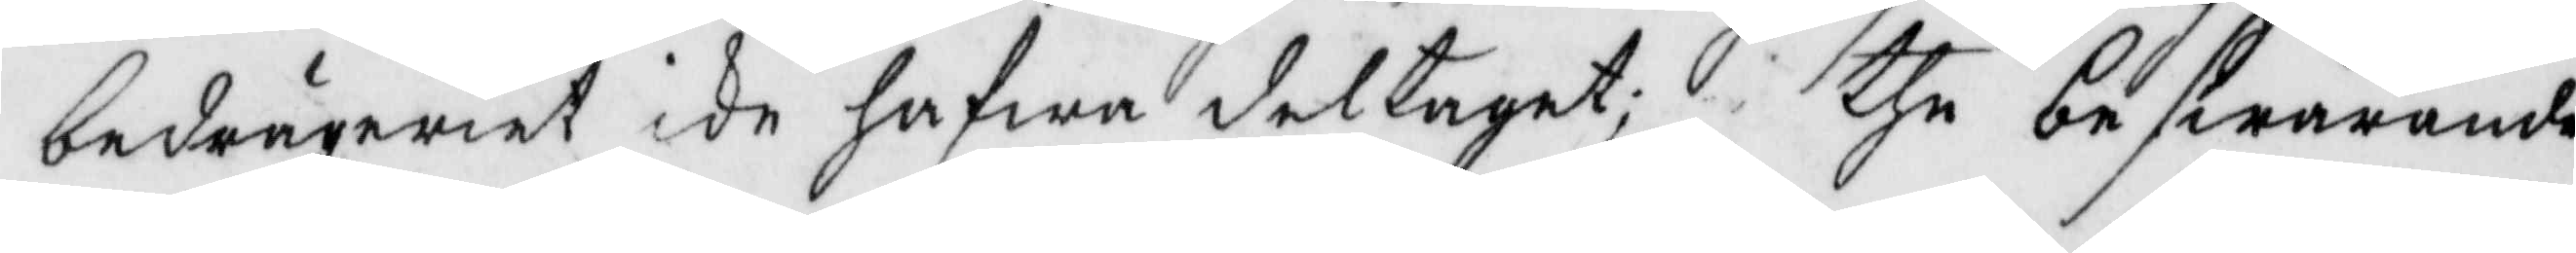bedägeriet icke hafwa deltaget; the beswärande
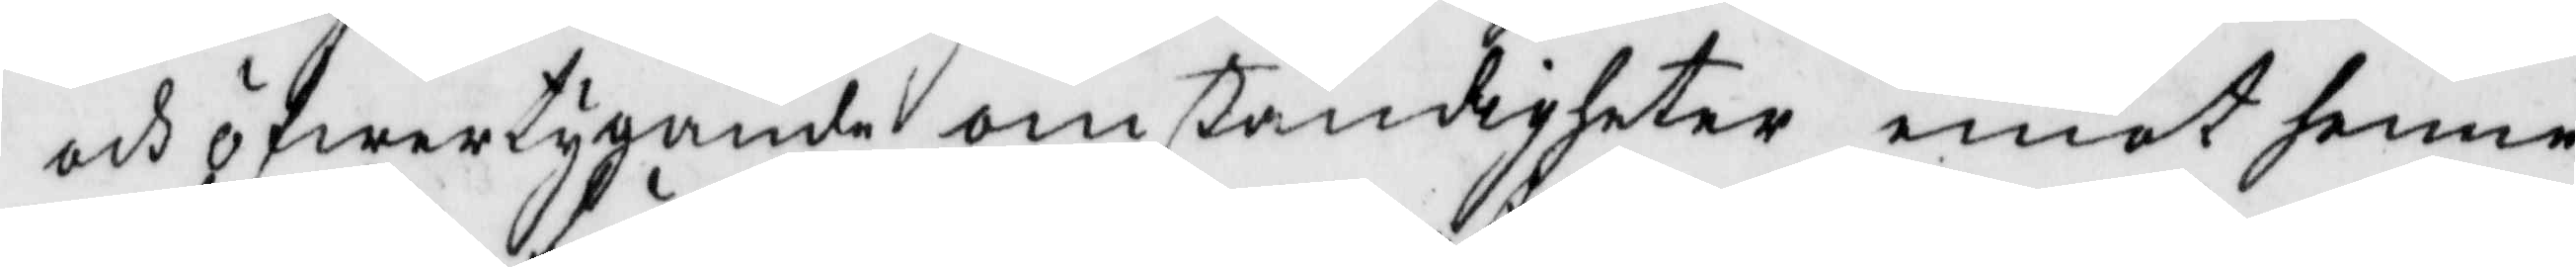och öfwertygande omständigheter emot henne
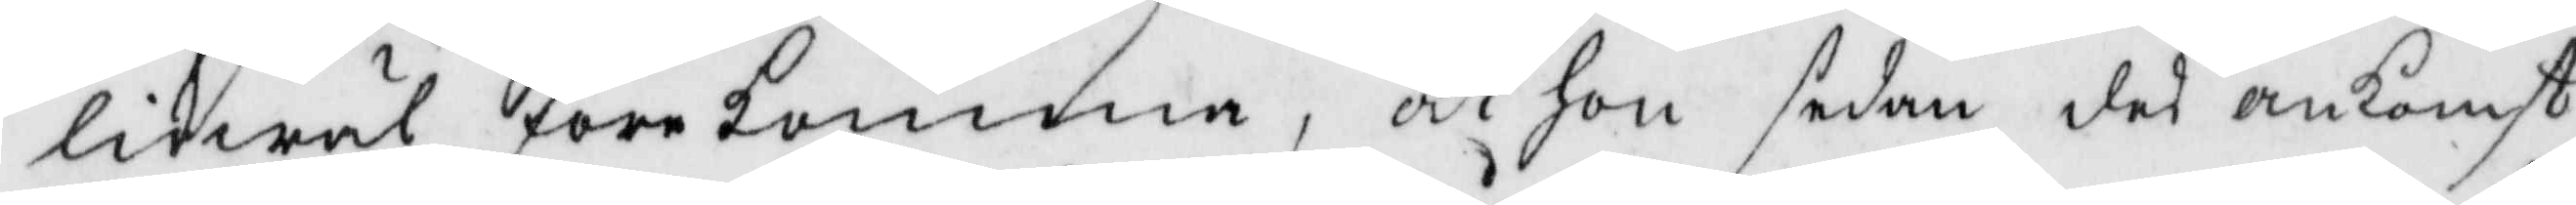likwäl förekomma, at hon sedan des ankomst
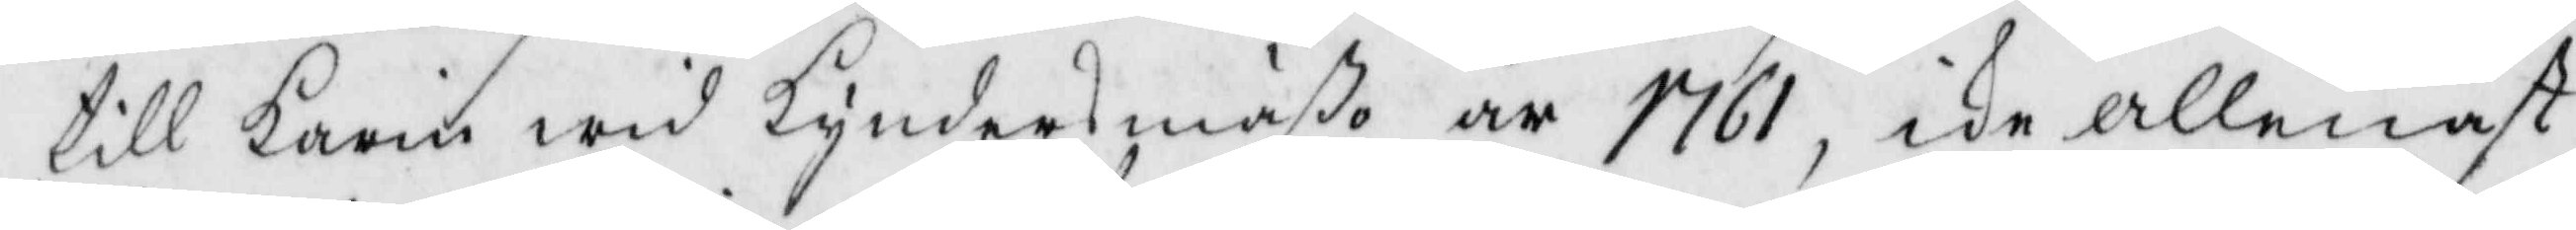till Karin wid kyndersmäßo år 1761, ike allenast
